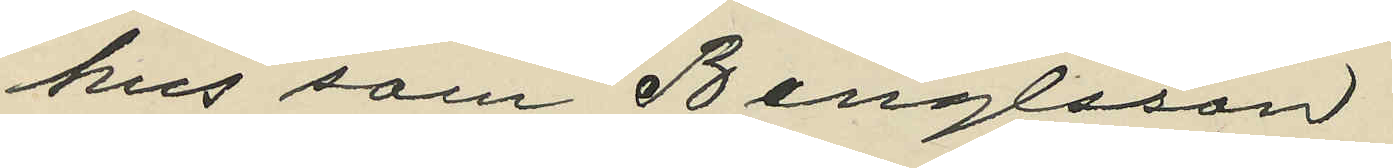hus som Bengtsson.
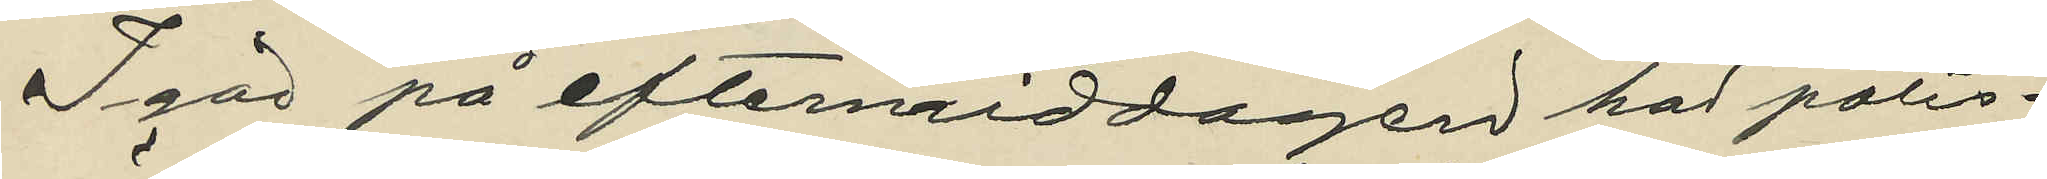I går på eftermiddagen har polis¬
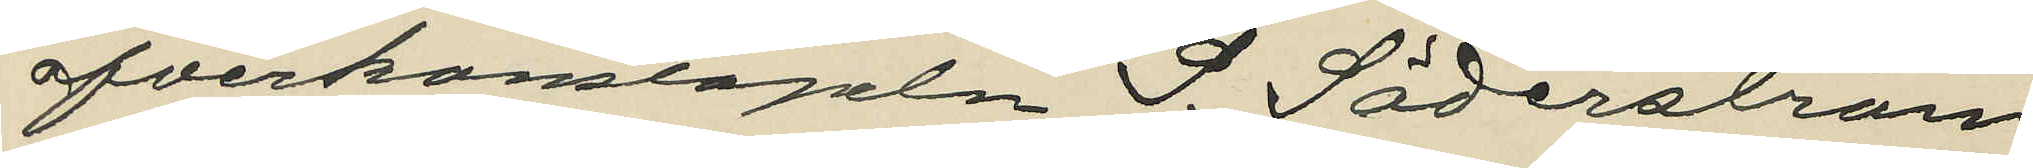öfverkonstapen S. Söderström
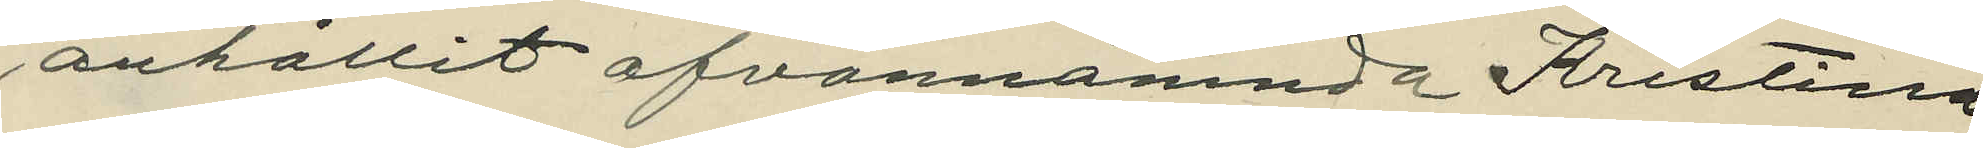anhållit ofvannämnda Kristina
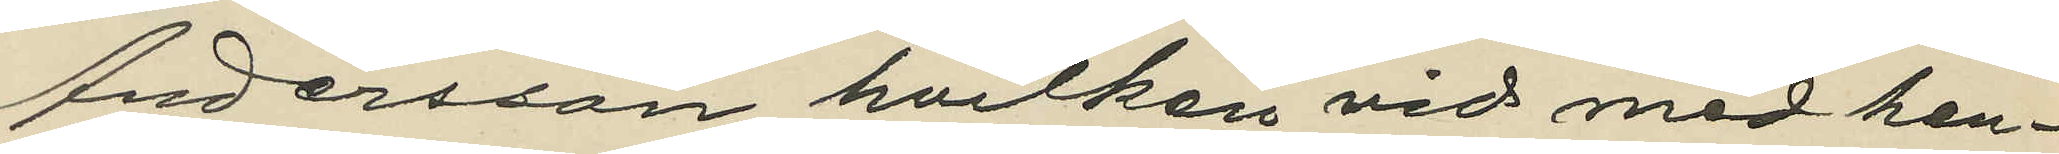Andersson, hvilken vid med hen¬
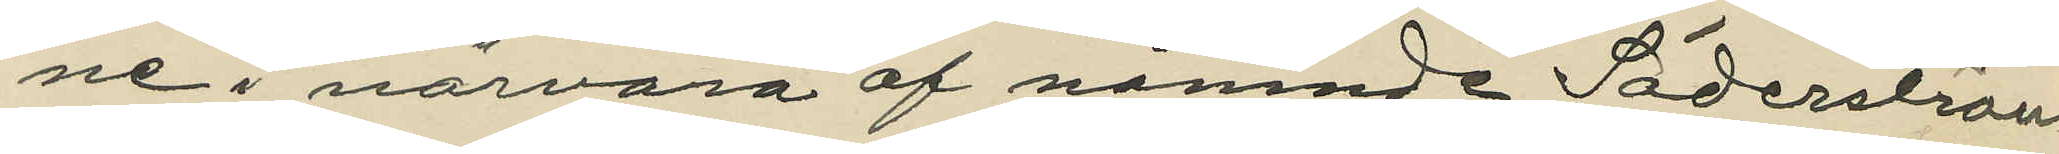ne i närvaro af nämnde Söderström
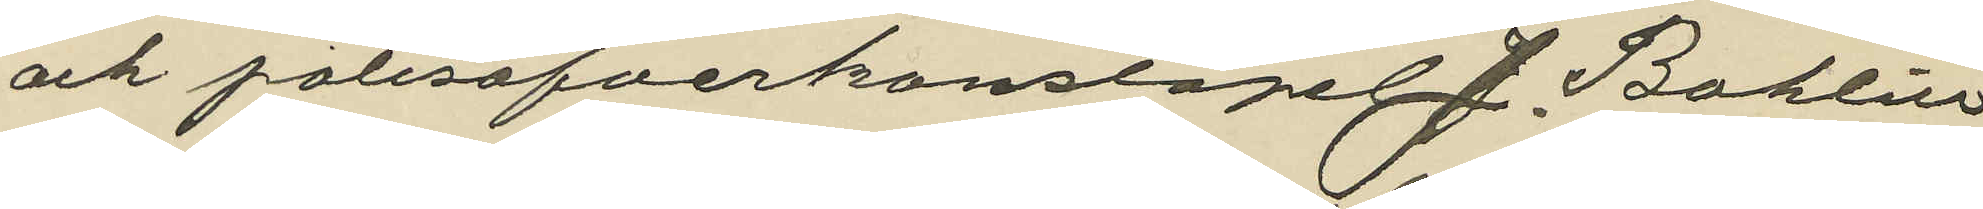och polisöfverkonstapel J. Bohlin
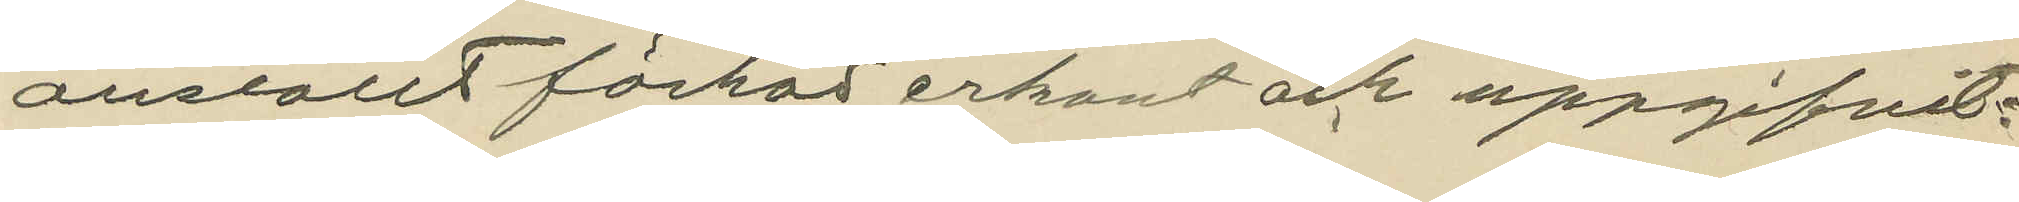anställt förhör erkant och uppgifvit:
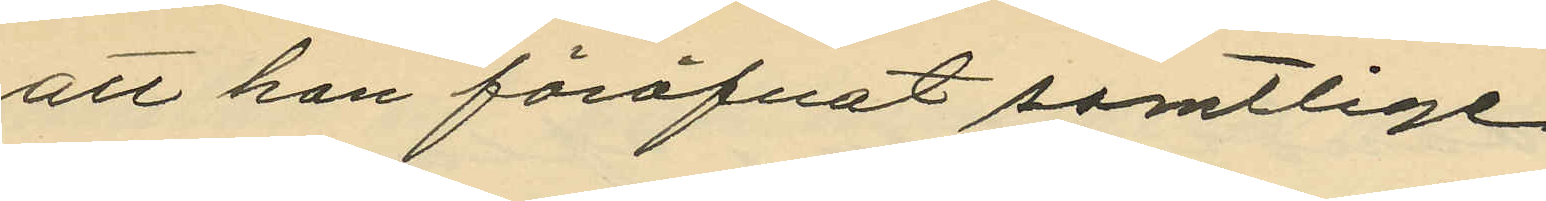att hon föröfvat samtlige
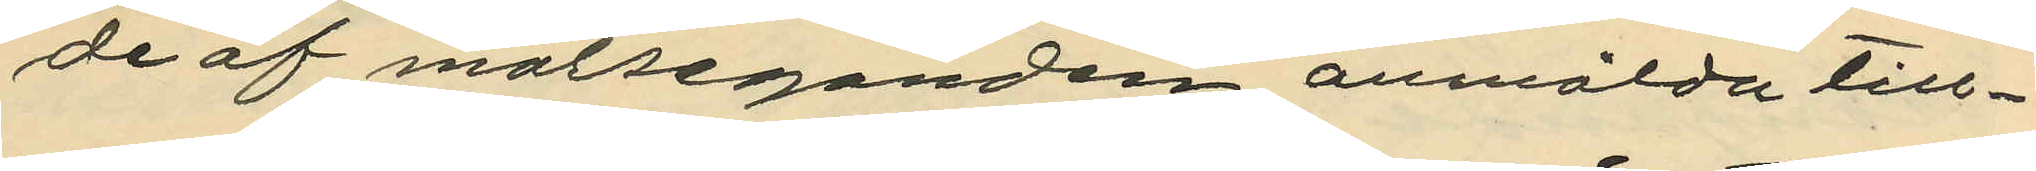de af målseganden anmälda till¬
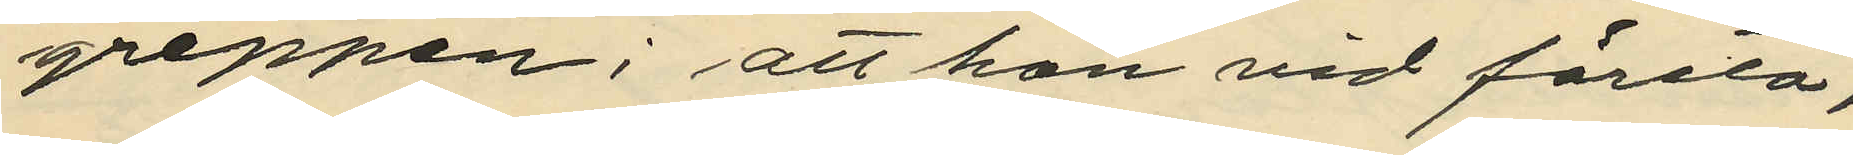greppen; att hon vid första,
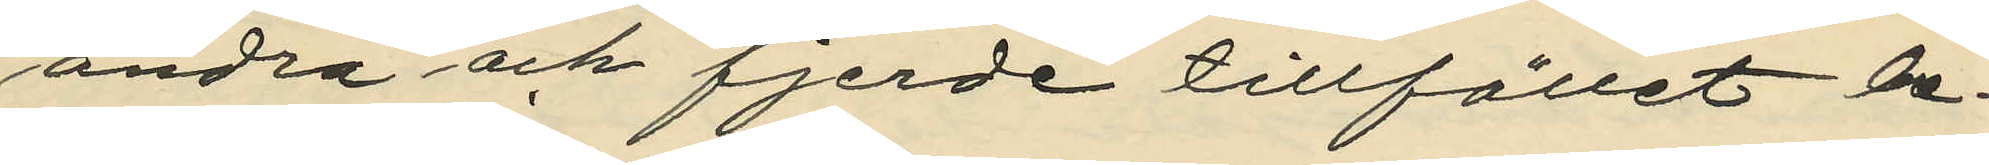andra och fjerde tillfället be¬
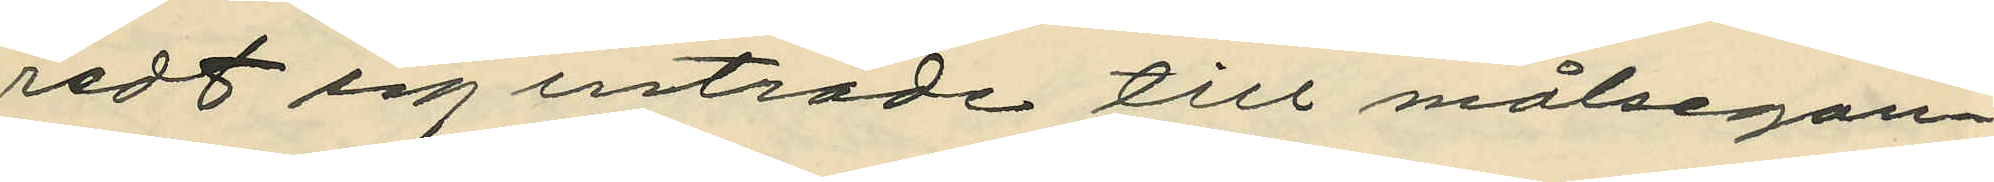redt sig inträde till målsegan¬
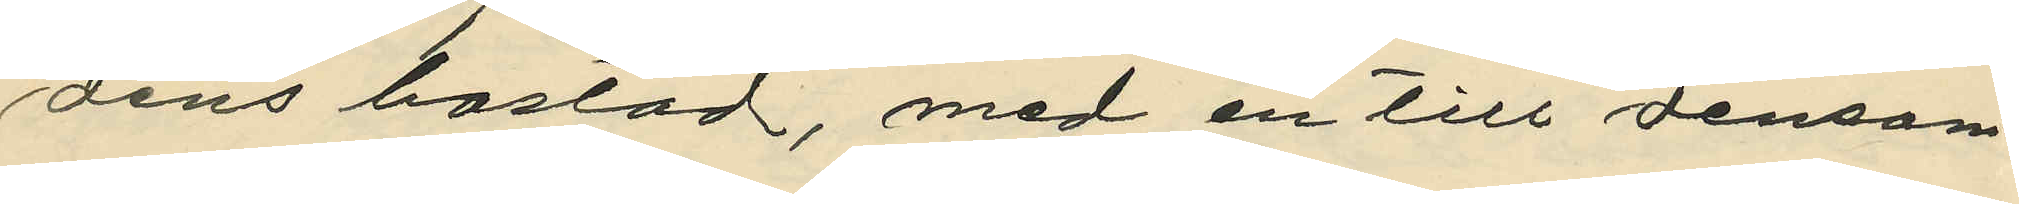dens bostad, med en till densam¬
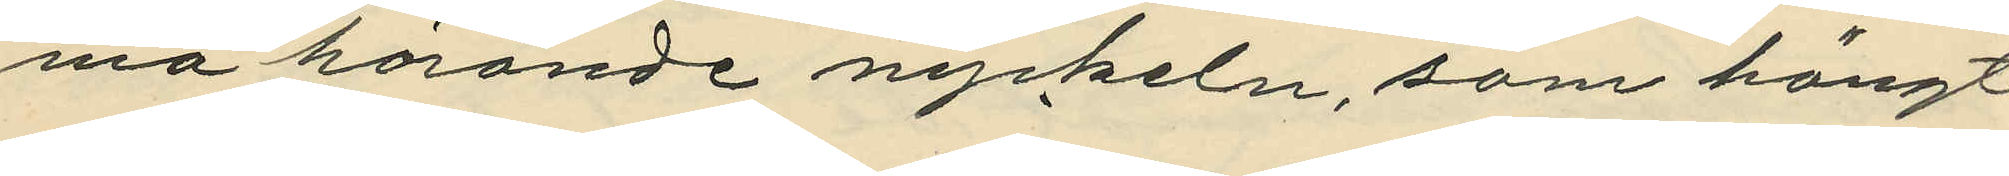ma hörande nyckeln, som hängt
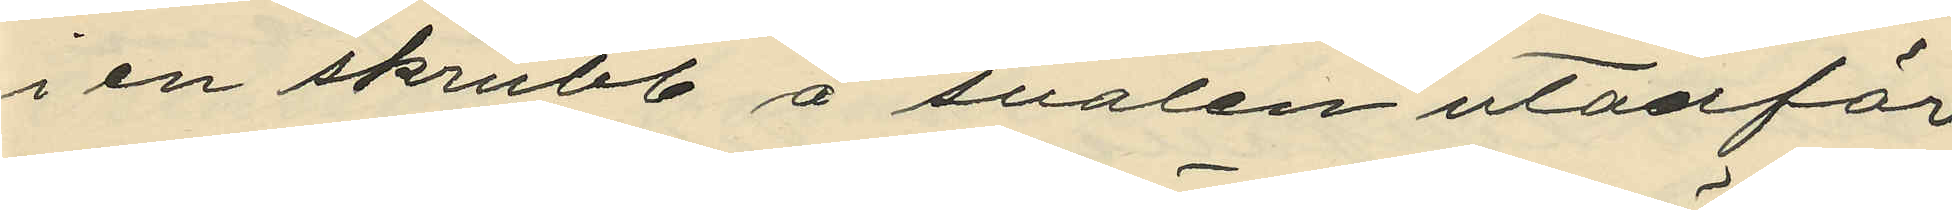i en skrubb å svalen utanför
